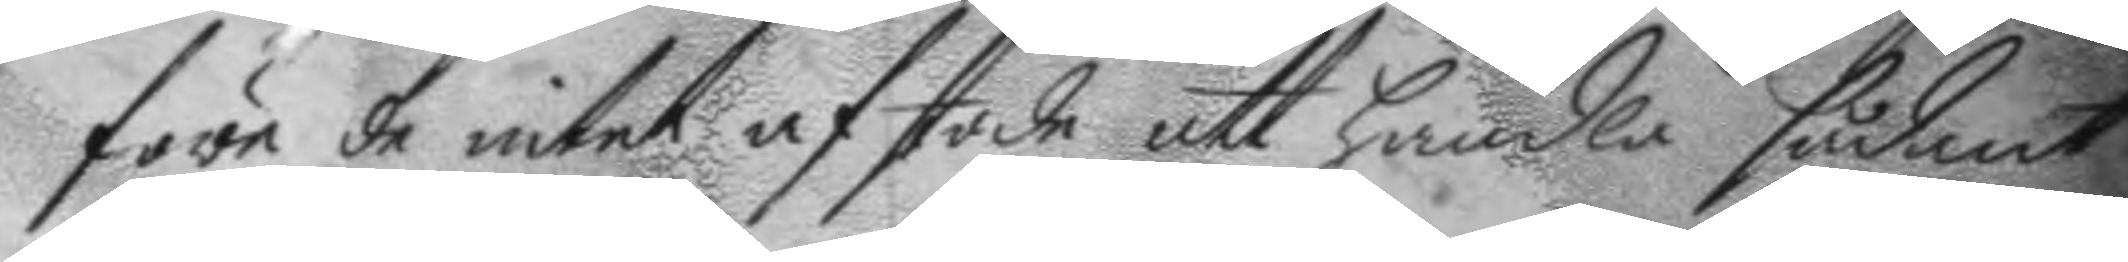före de intet afstode att Handla sådant
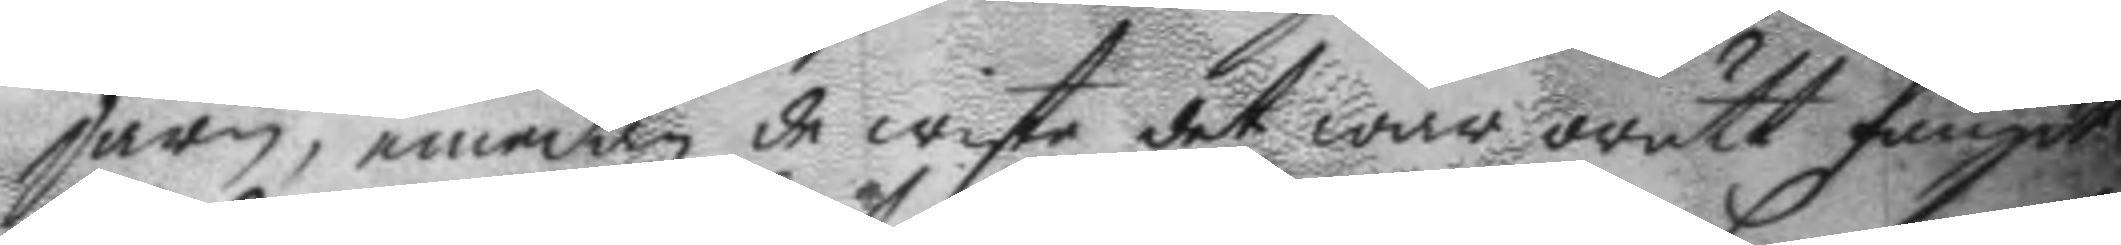järn, emedan de wiste det war orätt fångdt
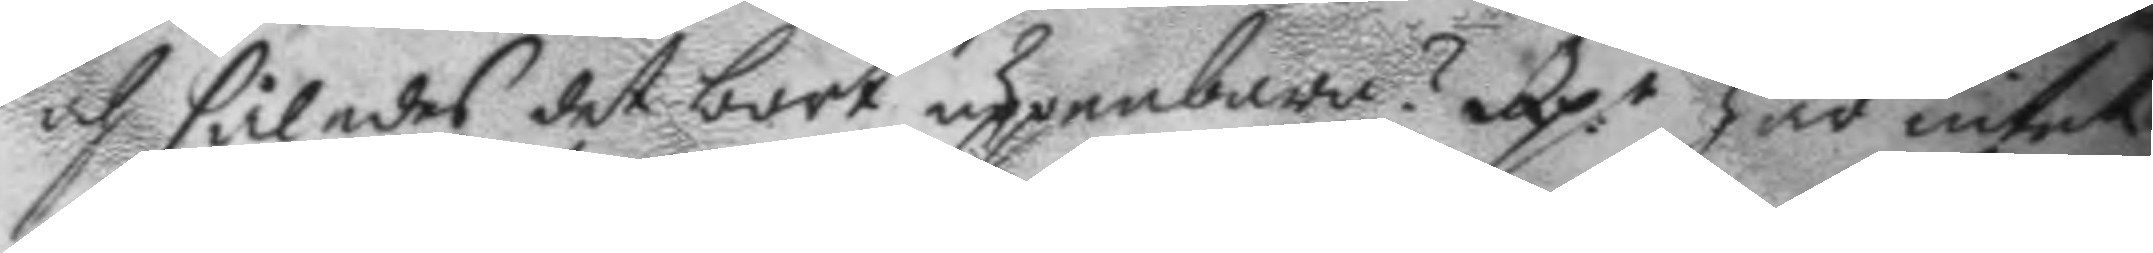och således det bort uppenbara? Rp:r hat intet
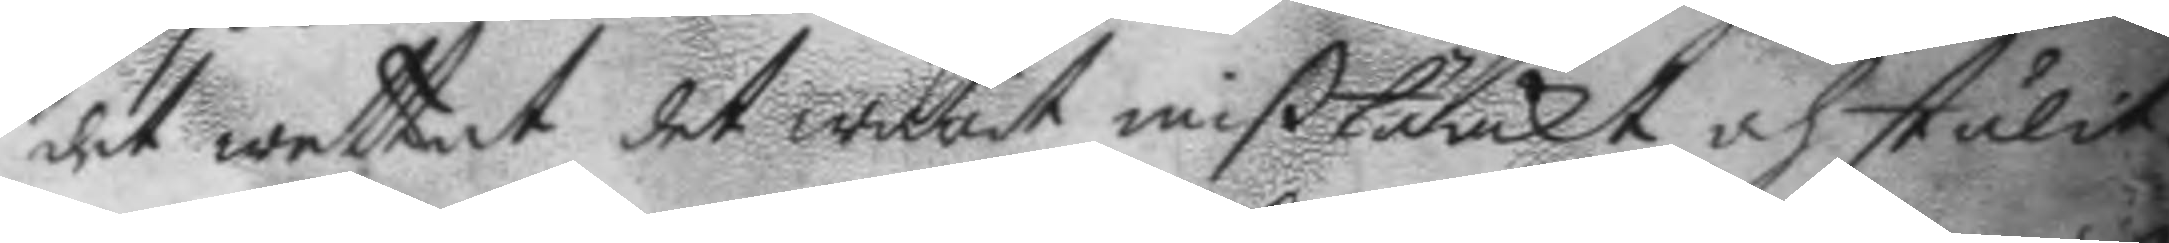det wettat det warit mißtänckt och stulit.
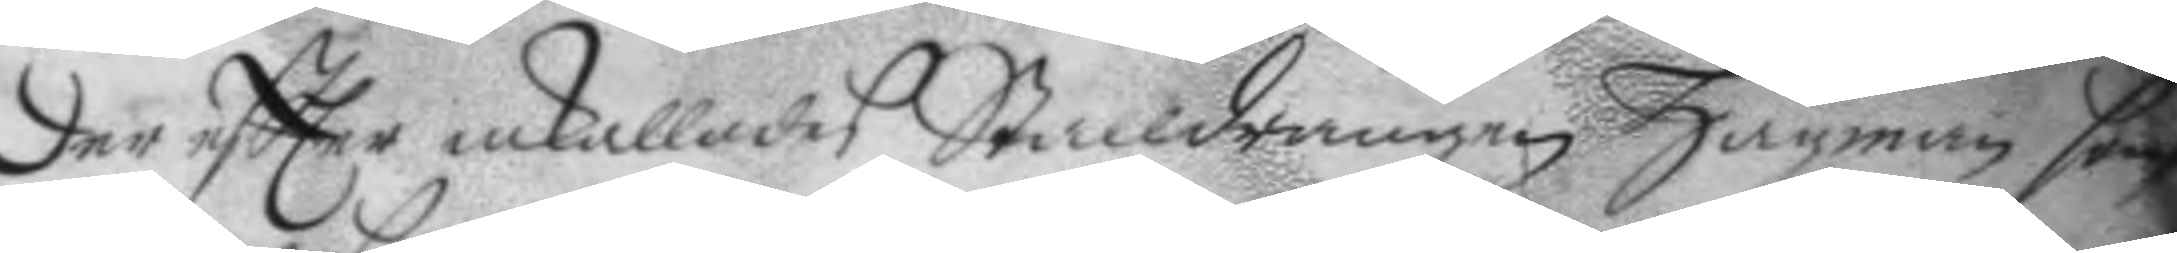Der eftter inkallades Stalldrängen Hagman som
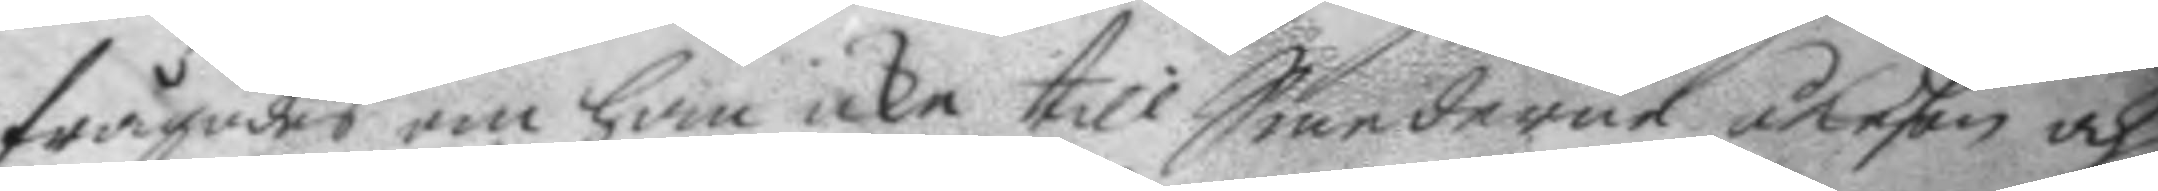frågades om han icke till Smederne åkeßon och
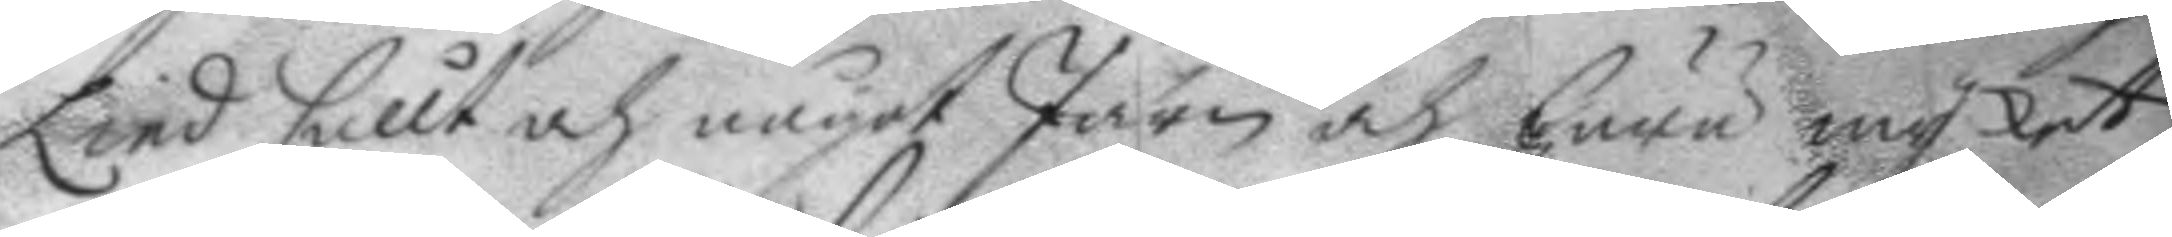Lind sållt och något Järn och huru mycket.
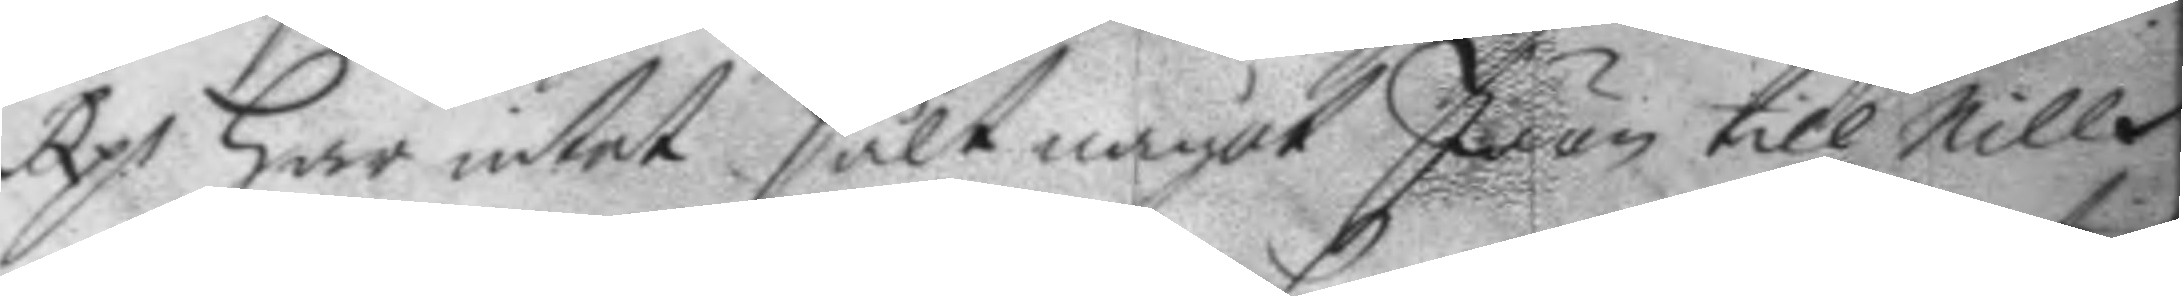Rp.s Har intet sålt något Järn till Nills
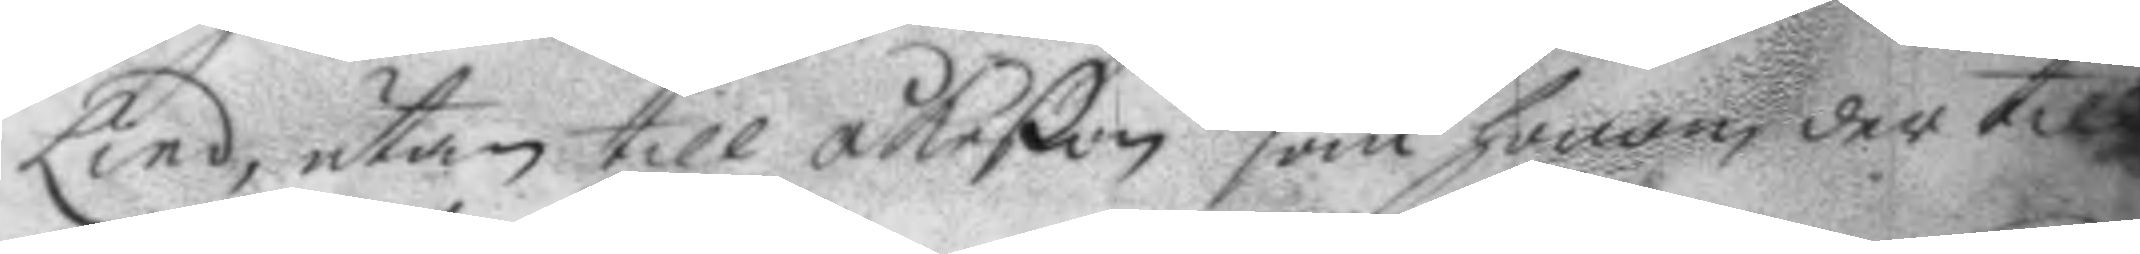Lind, utan till åkeßon som honom der till
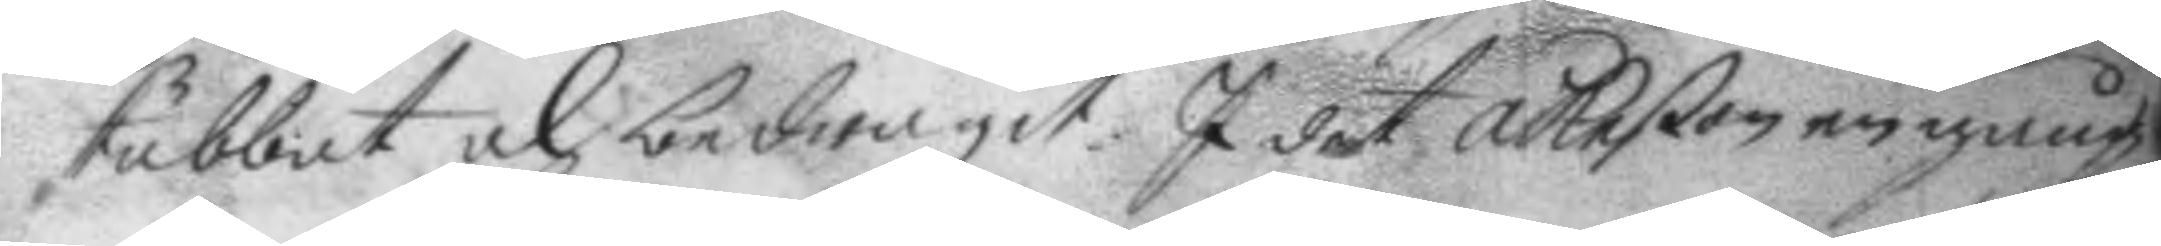tubbat och bedragit. I det åkeßon en gång
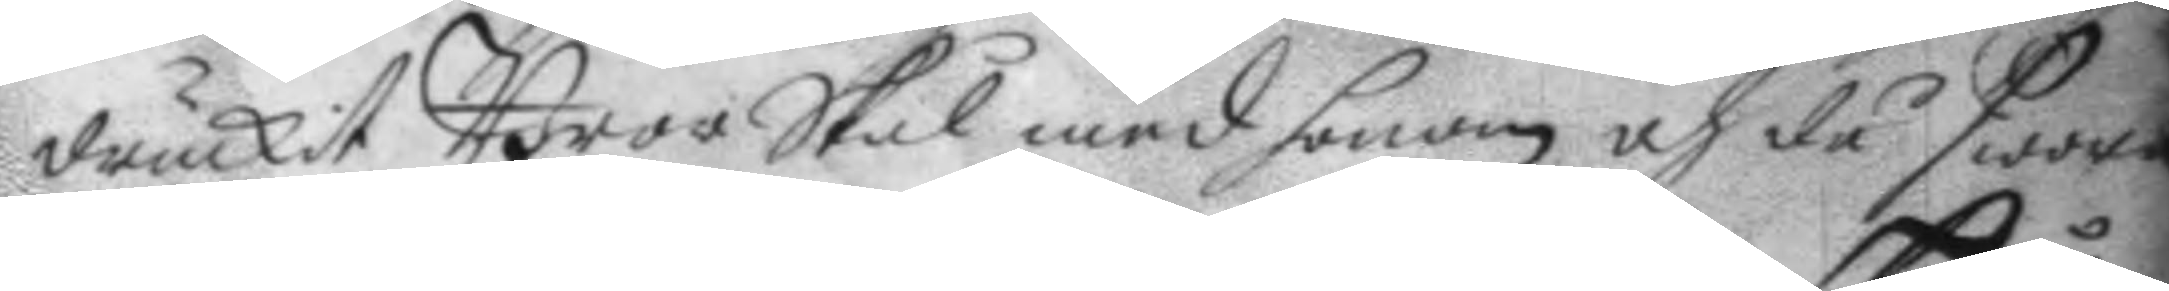druckit BrorSkål med honom och då swora
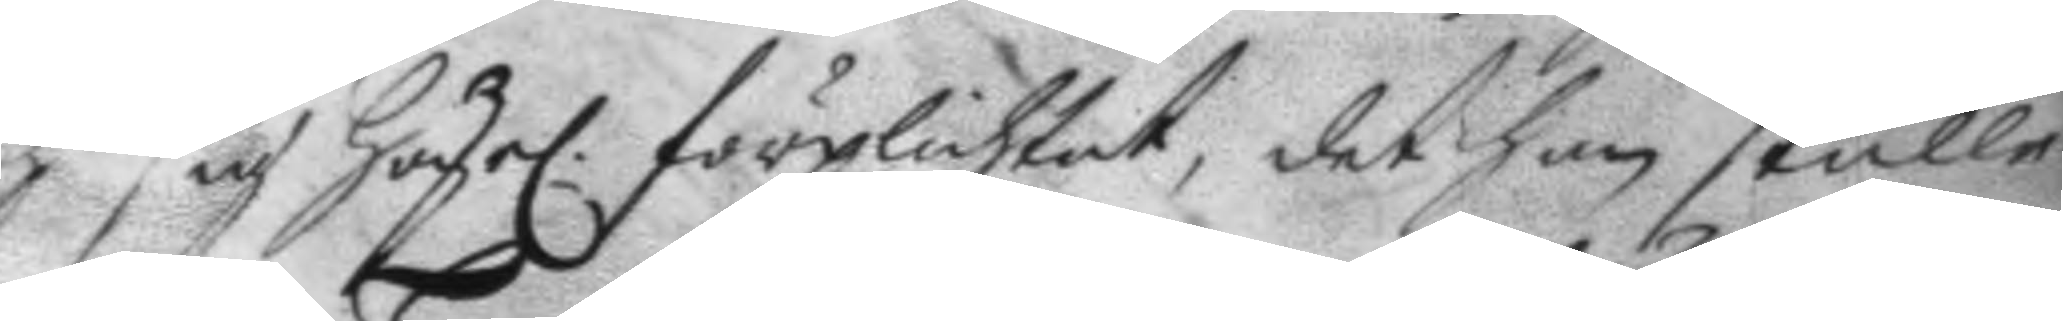och sig Högel. förplichtat, det han skulle
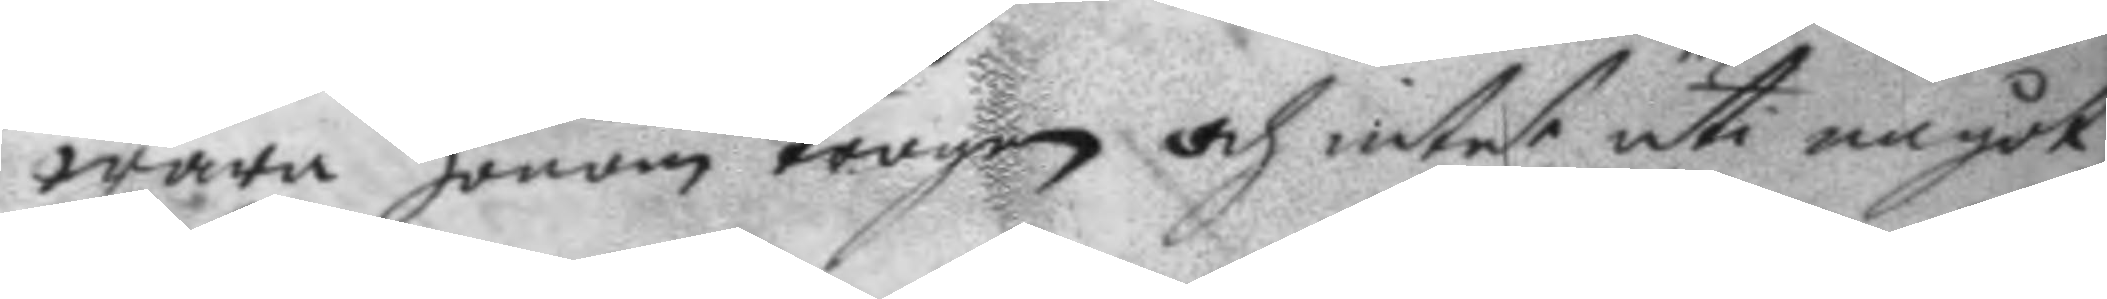wara honom trogen och intet uti något
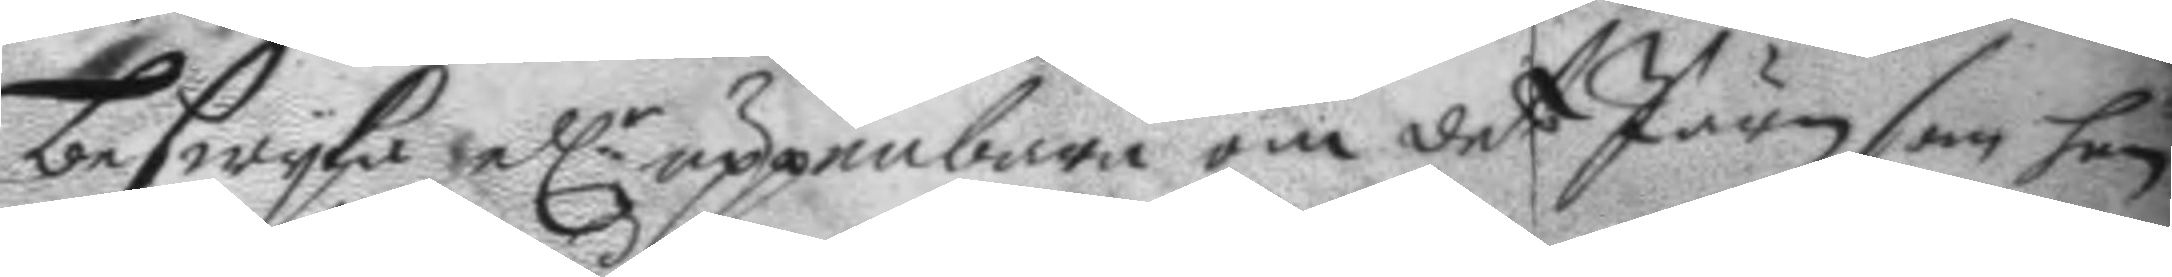beswyka ell.r uppenbara om det Järn som han
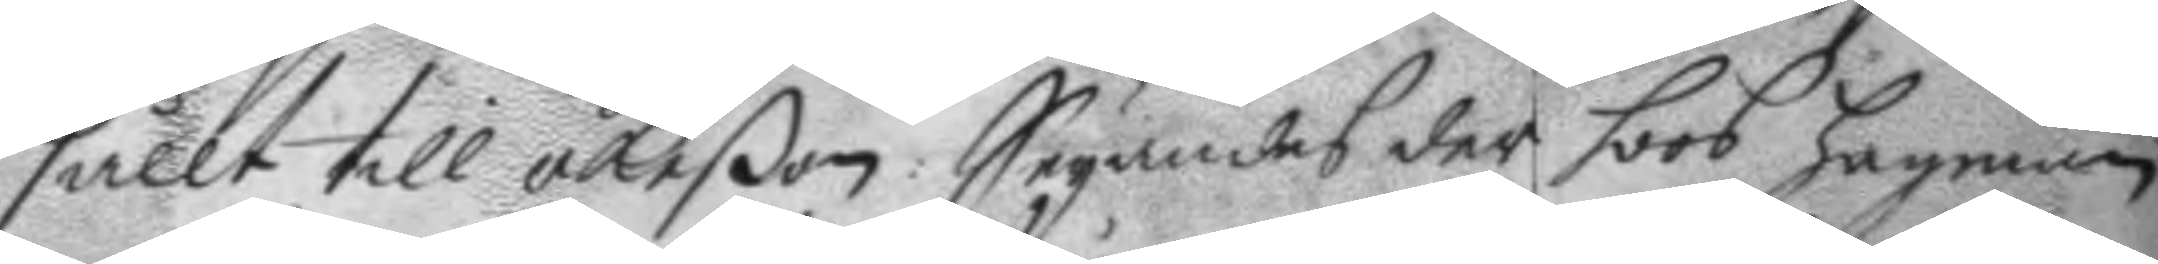sållt till åkeßon: Seyandes der hoos hagman
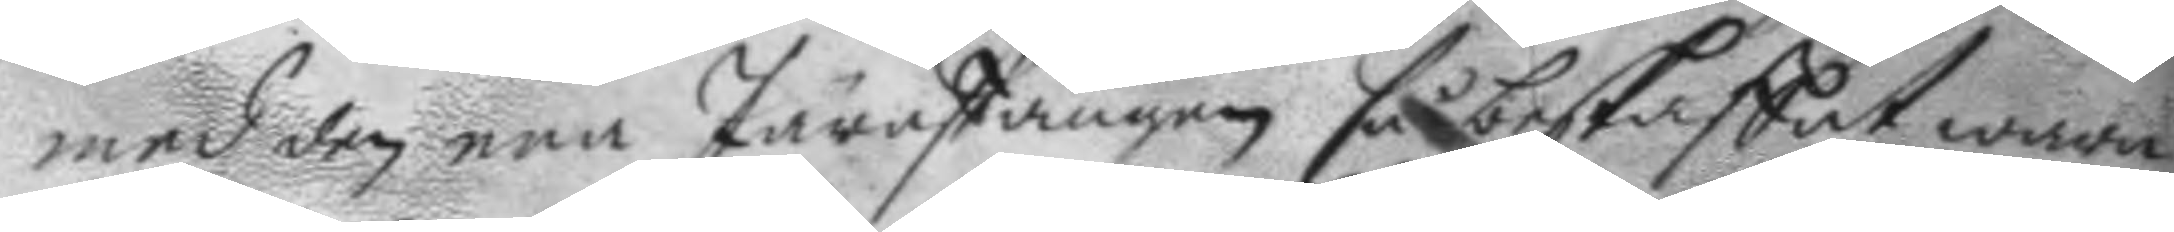med den ena Järnstången så beskaffat wara
